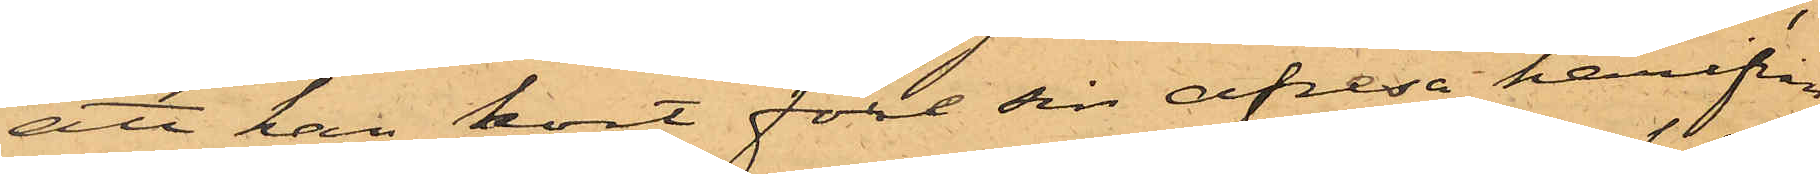att han kort före sin afresa härifrån
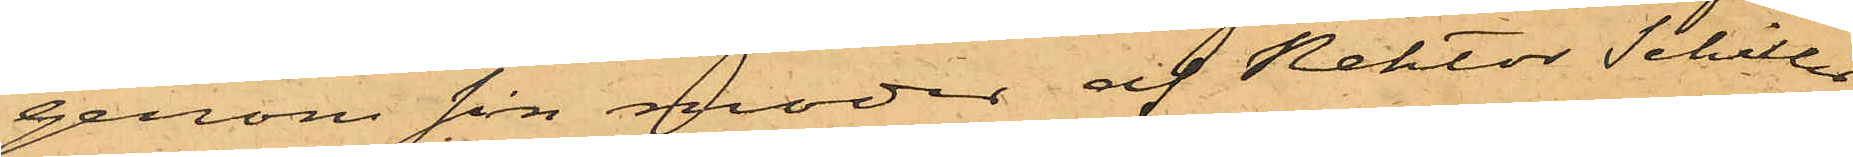genom sin moder af Rektor Schiller
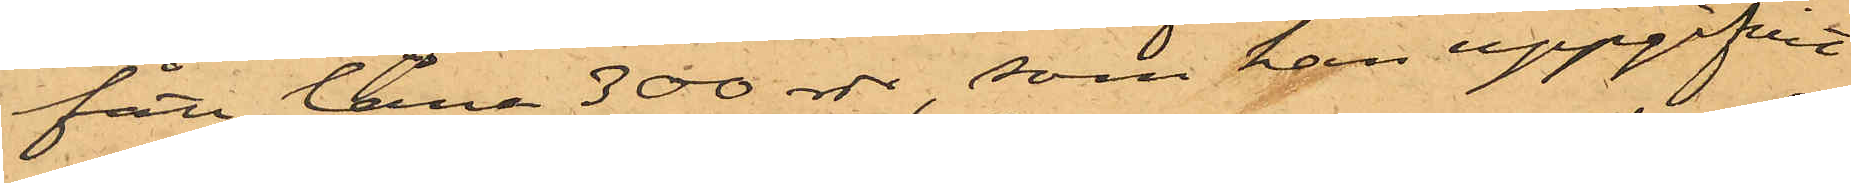fått låna 300 rdr, som han uppgifvit
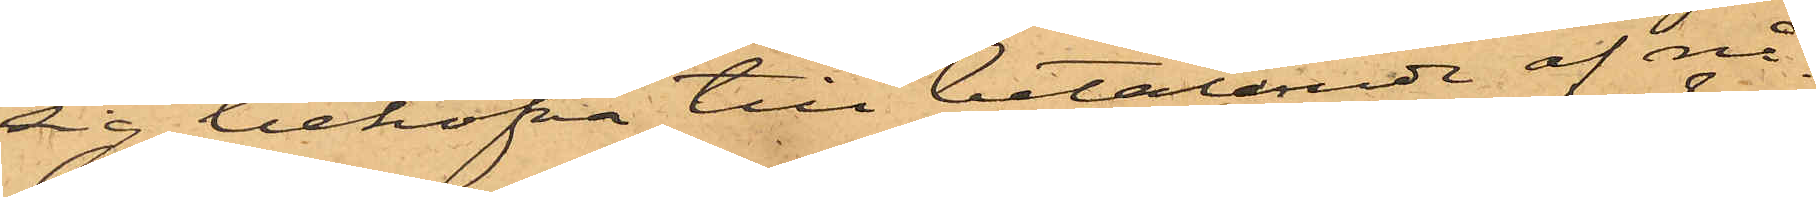sig behöfva till betalande af nå¬
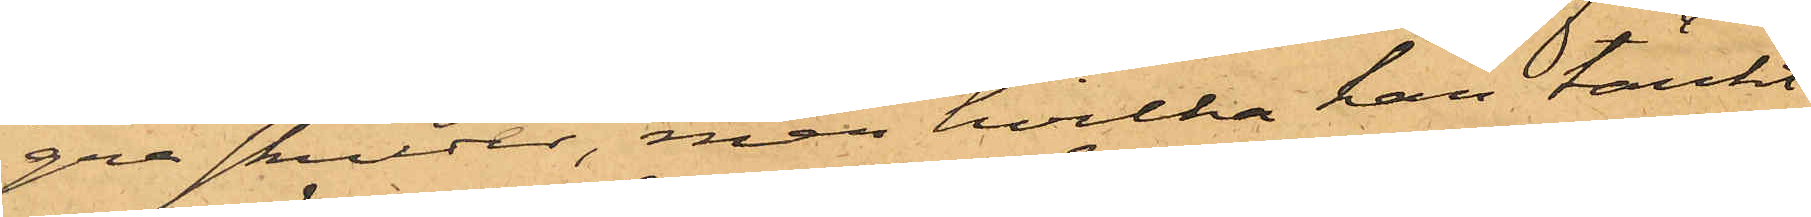gra skulder, men hvilka han tänkt
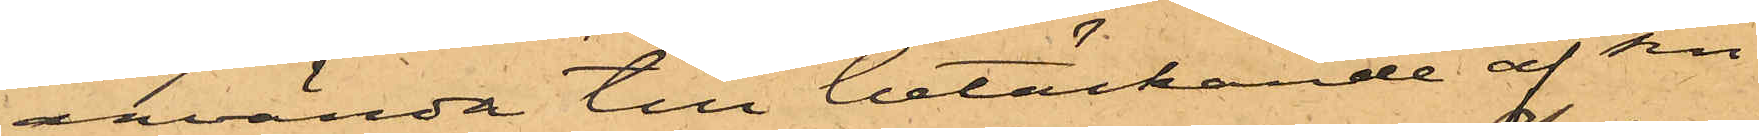använda till betäckande af sin
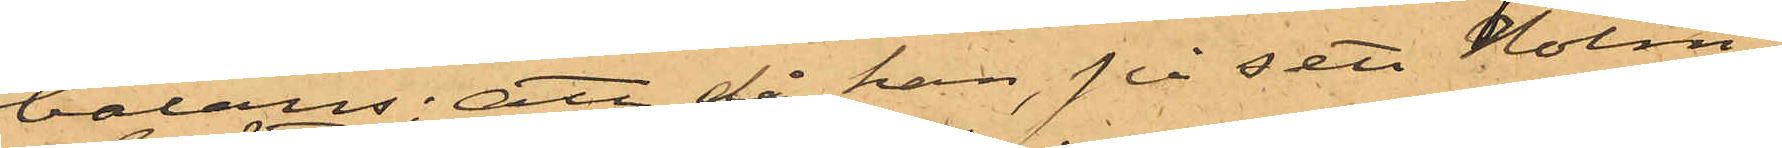balans; att då han, på sett Holm¬
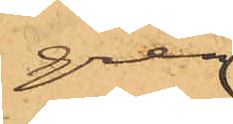gren
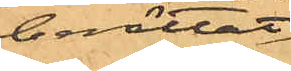berättat
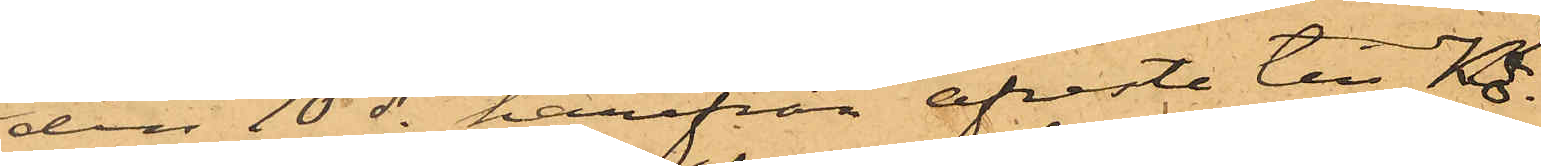den 10 ds härifrån afreste till Kö¬
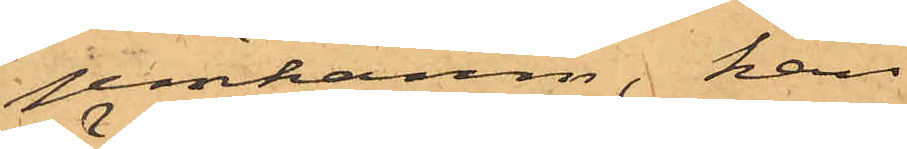penhamn, han
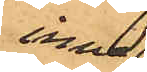inne¬
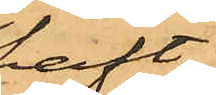haft
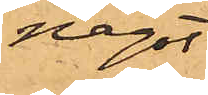något
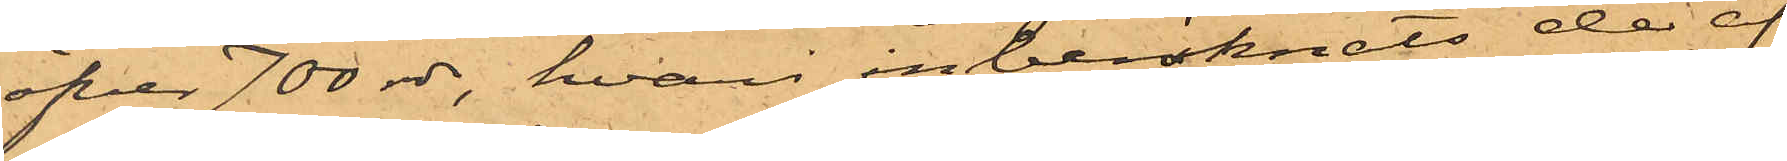öfver 700 rdr, hvari inberäknats de af
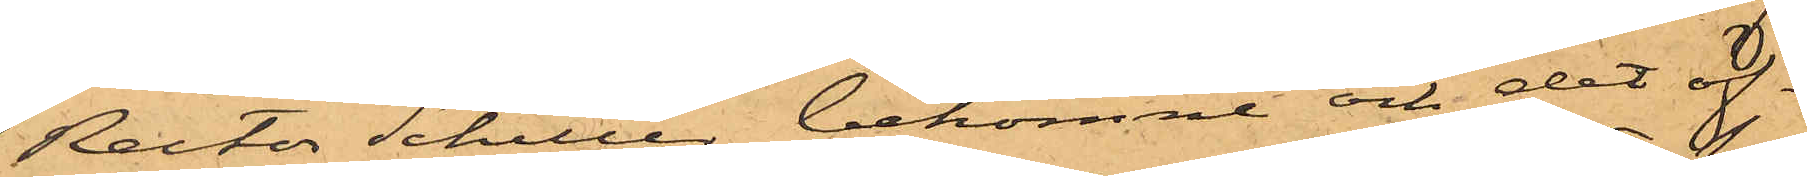Rector Schiller bekomne och det öf¬
